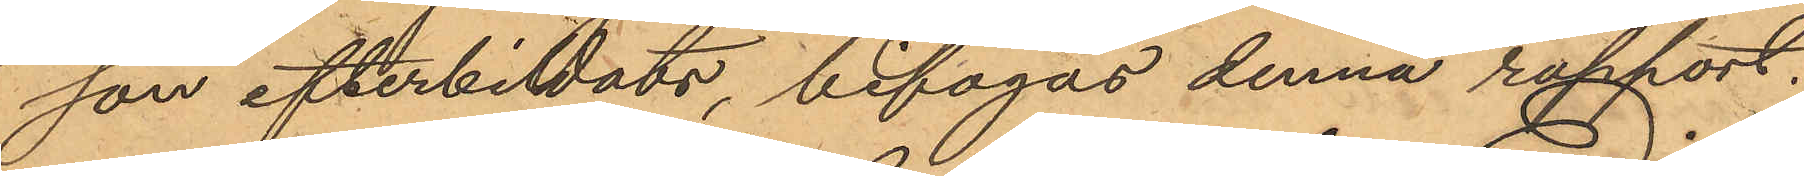son efterbildats, bifogas denna rapport.
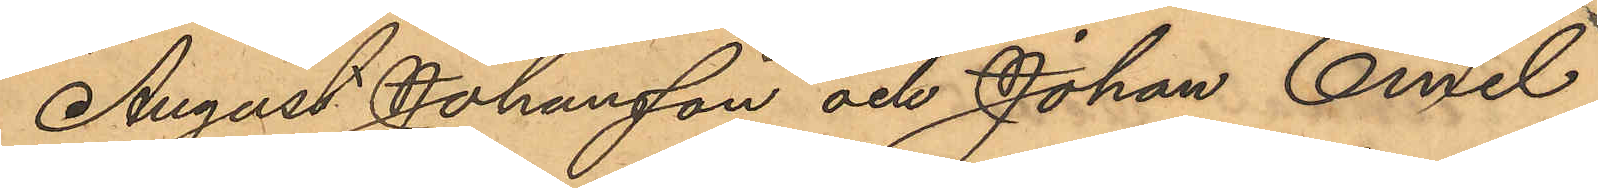August Johansson och Johan Emil
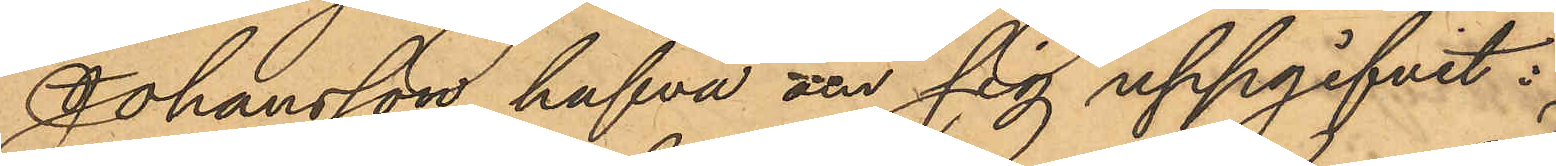Johansson hafva om sig uppgifvit:
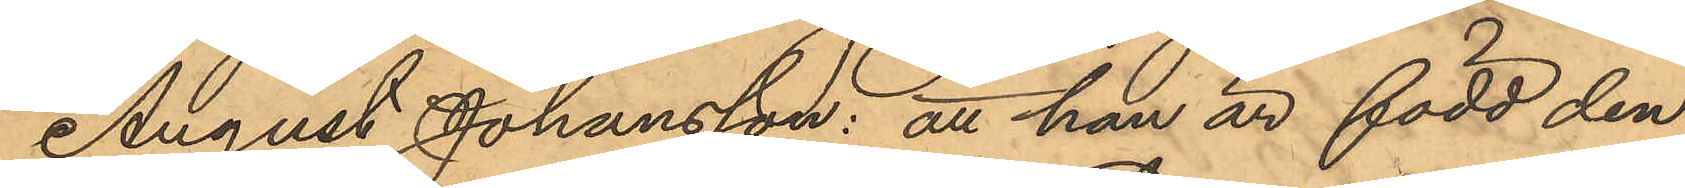August Johansson: att han är född den
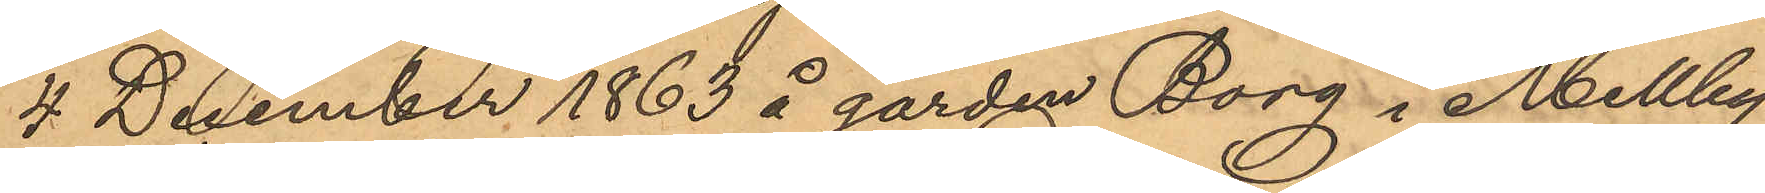4 December 1863 å gården Borg i Mellby
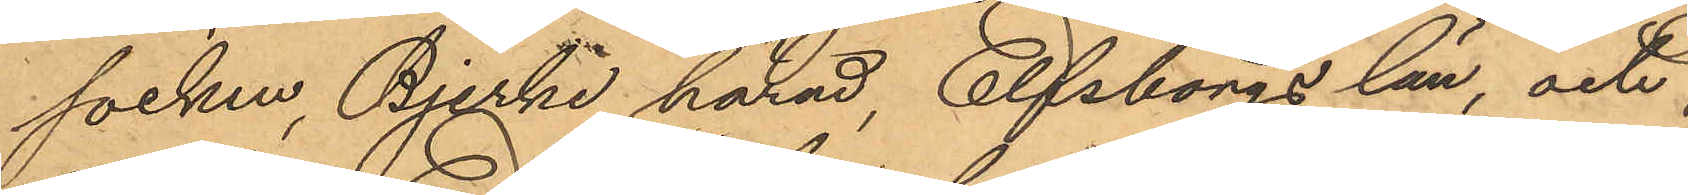socken, Bjerke härad, Elfsborgs län och
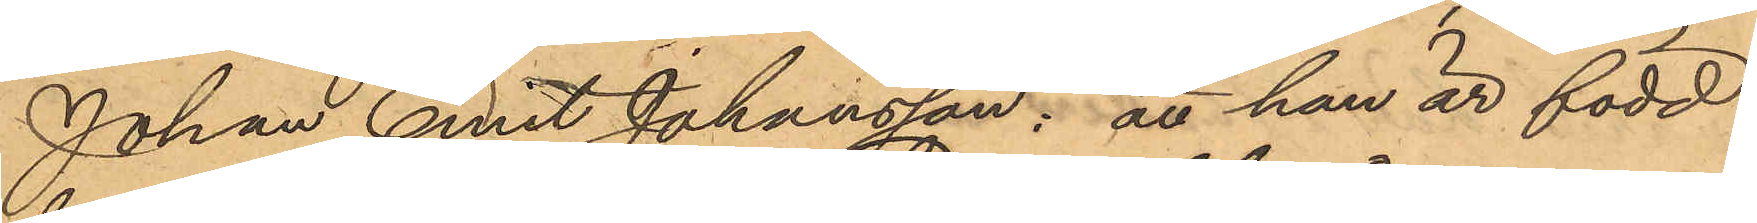Johan Emil Johansson: att han är född
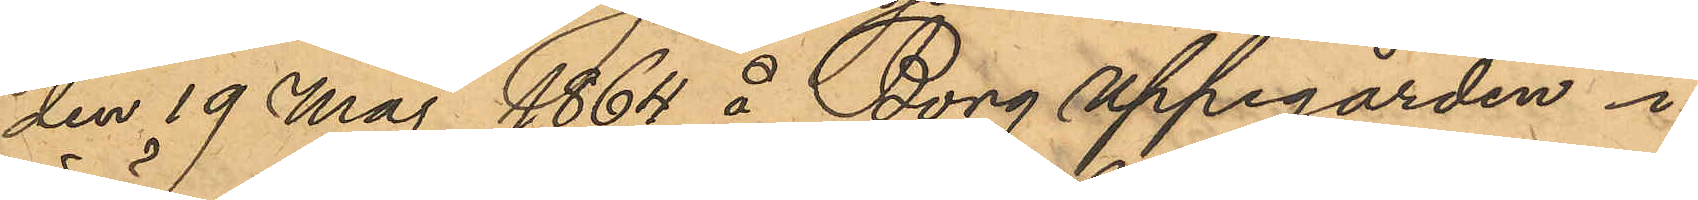den 19 Maj 1864 å Borg uppegården i
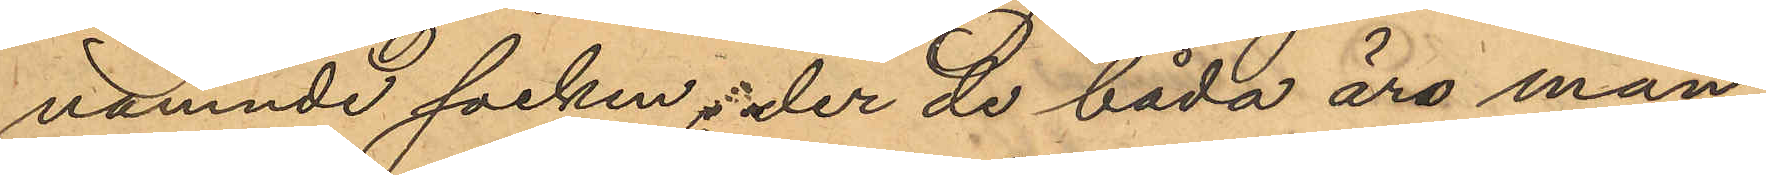nämnde socken; der de båda äro man¬
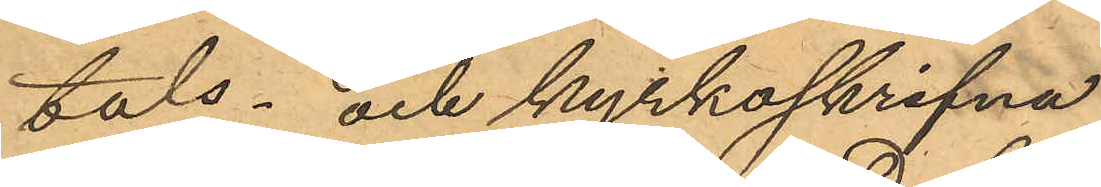tals- och kyrkoskrifna.
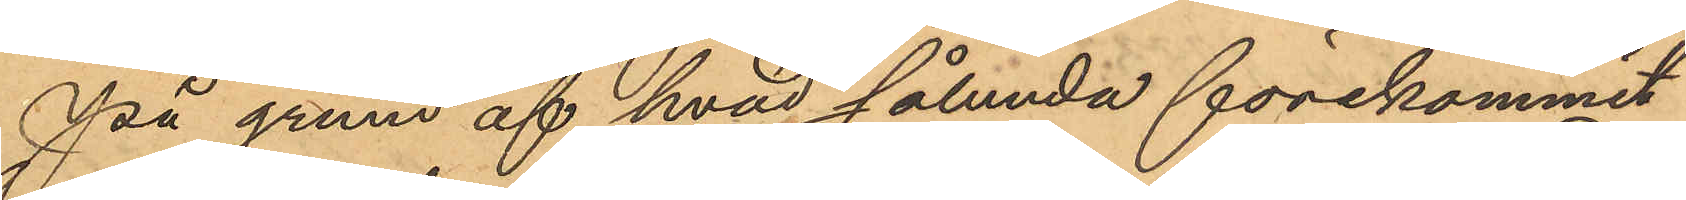På grund af hvad sålunda förekommit
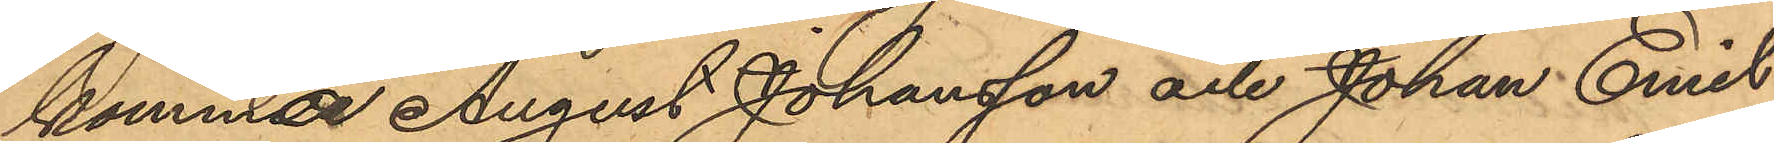kommar August Johansson och Johan Emil
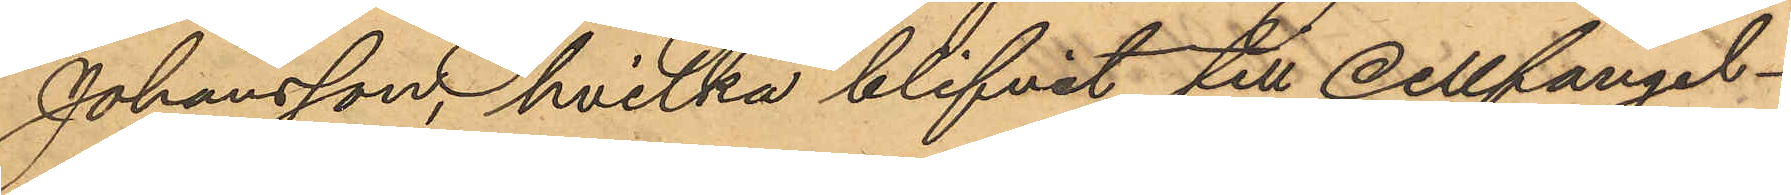Johansson, hvilka blifvit till cellfängel¬
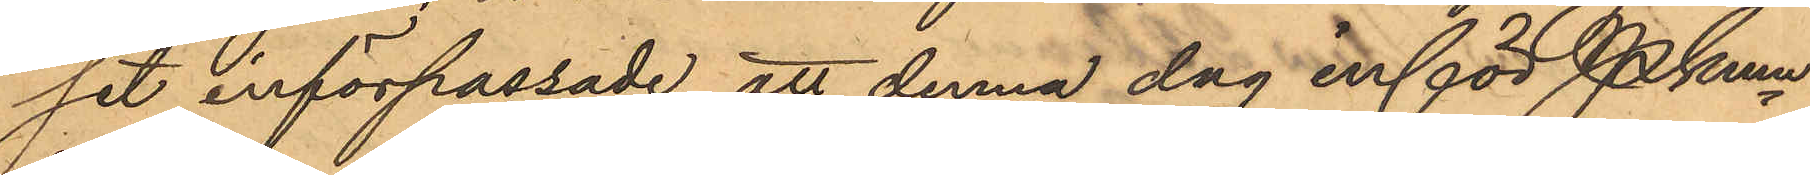set införpassade att denna dag inför Pkmn
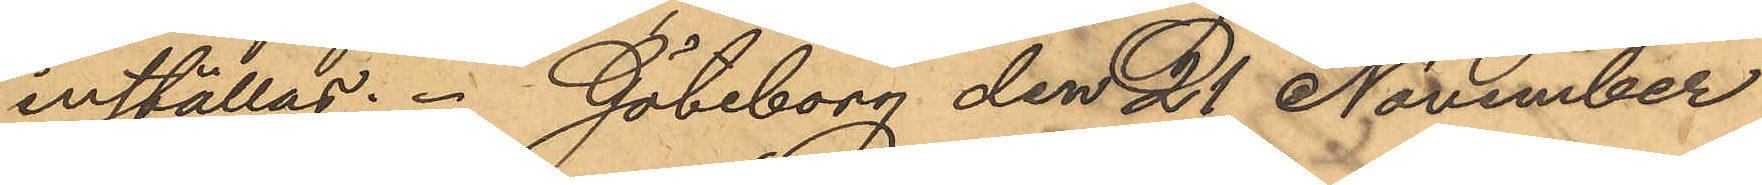inställas. Göteborg den 21 November
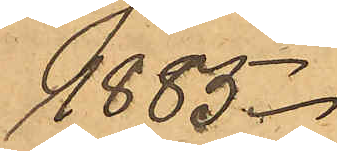1885.
